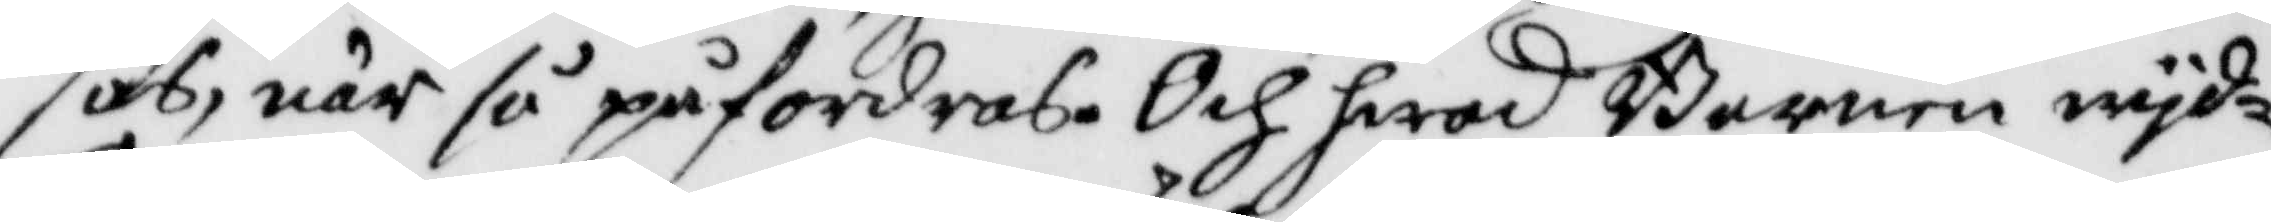sas, när så påfordras. Och hwad Barnen wyd¬
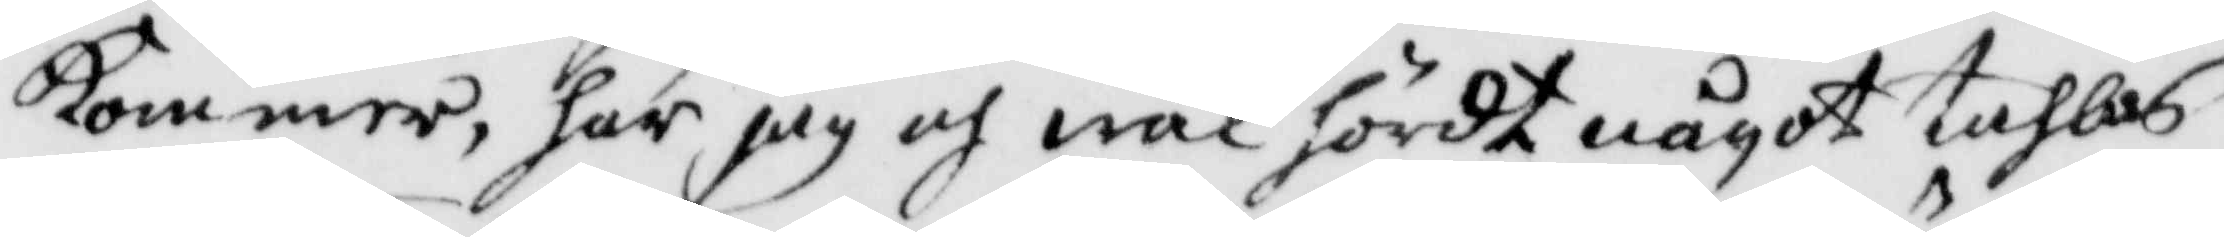kommer, har jag och wäl hördt något tahlas
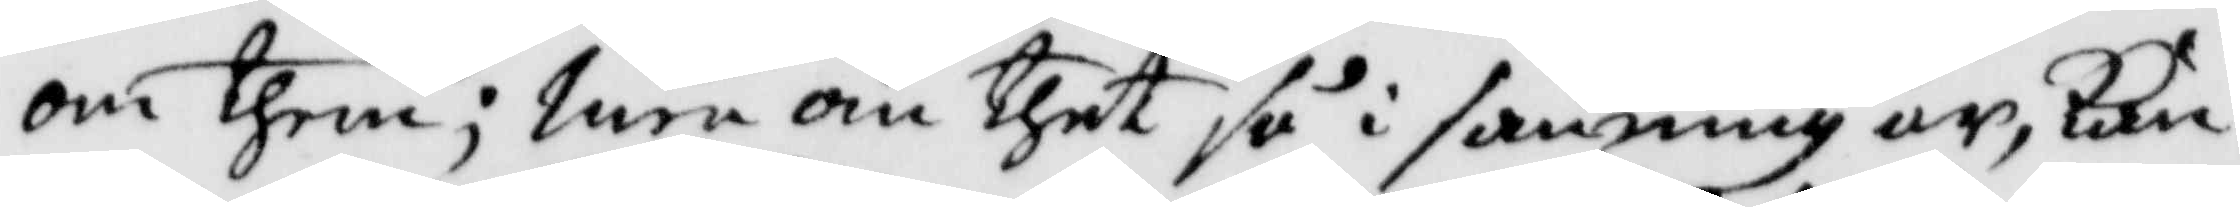om them; men om thet så i sanning är, kan
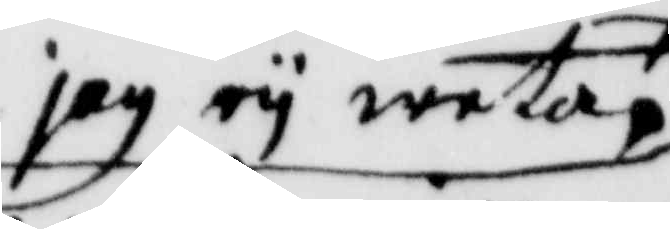jag ey weta,
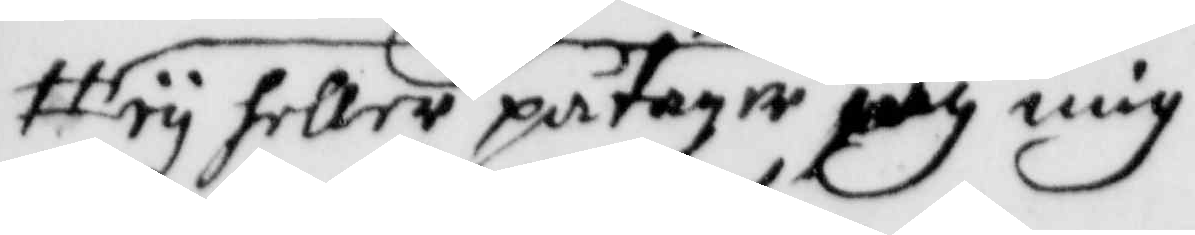ey heller påtager iag mig
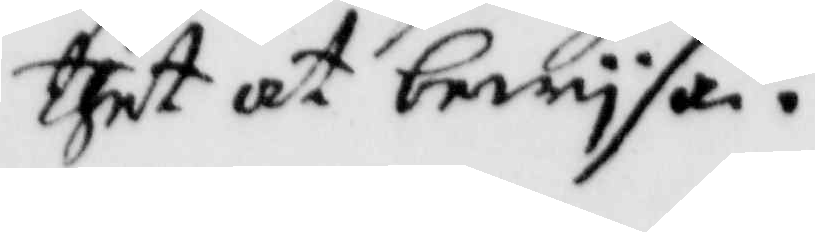thet at bewysa.
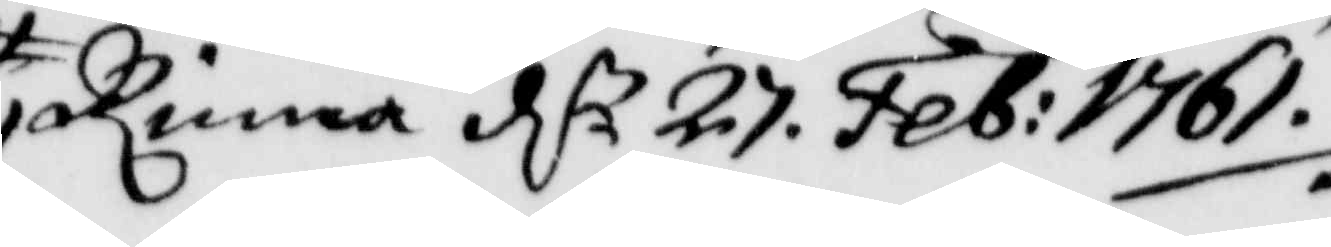Rinna d 27. Feb: 1761.
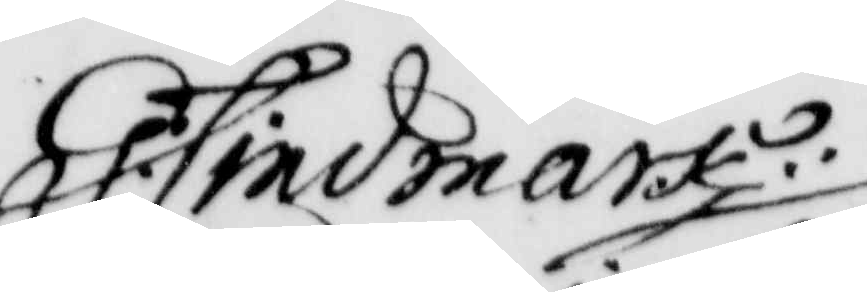G: Lindmark
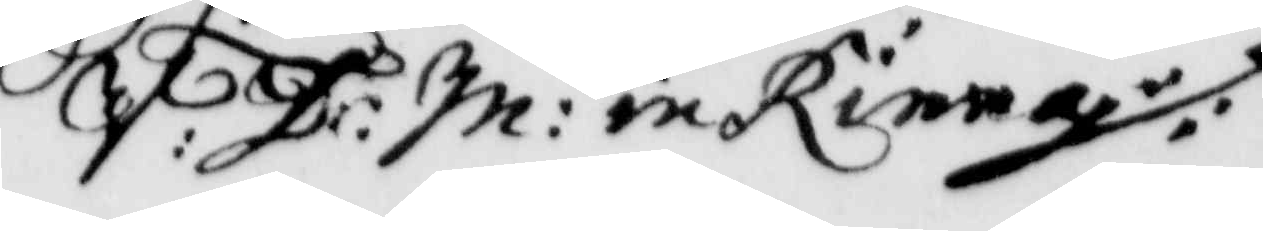V: J: m: in Rinna
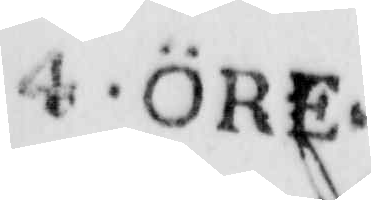4 öre.
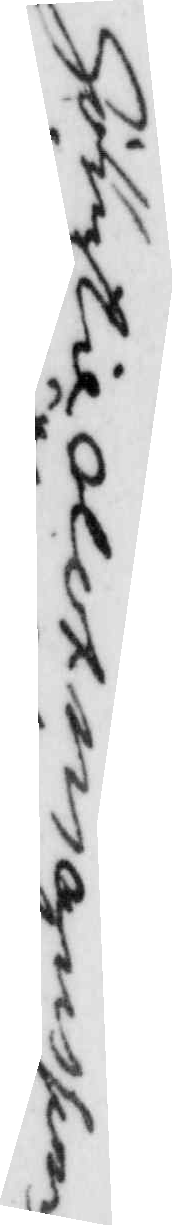Hör til Olof Månsson
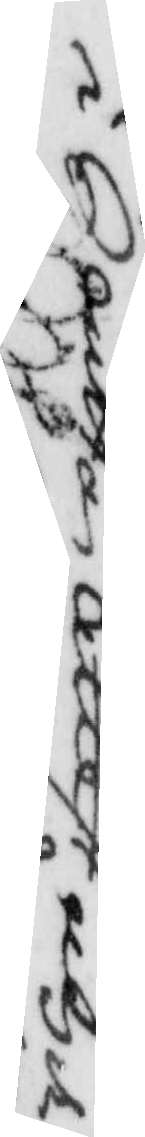i Souttan attest med
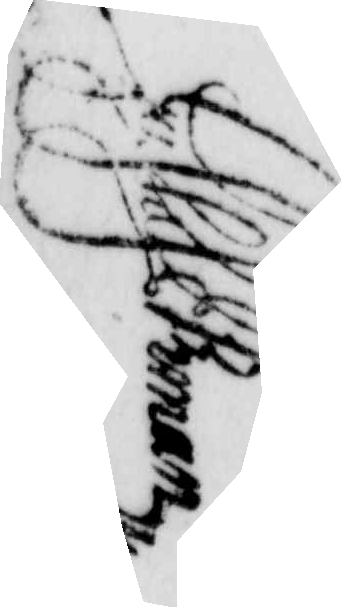vidiandem för
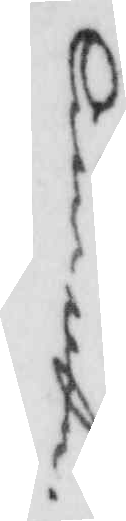lin...
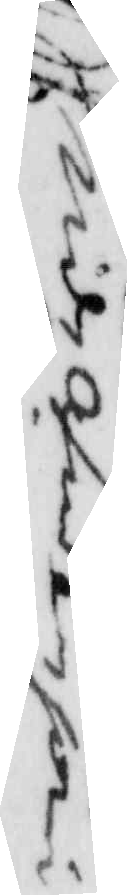Gustaf Ekman
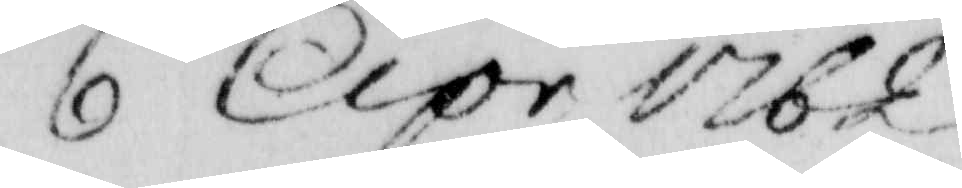6 Apr 1762
